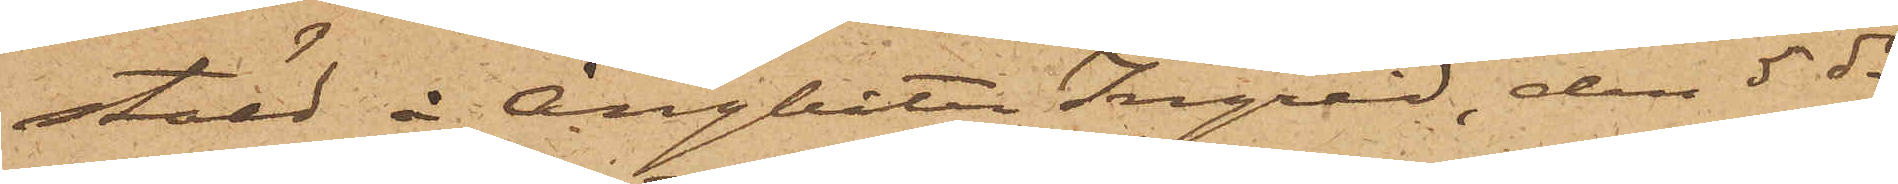stäld å Ångbåten Ingrid, den 5 ds
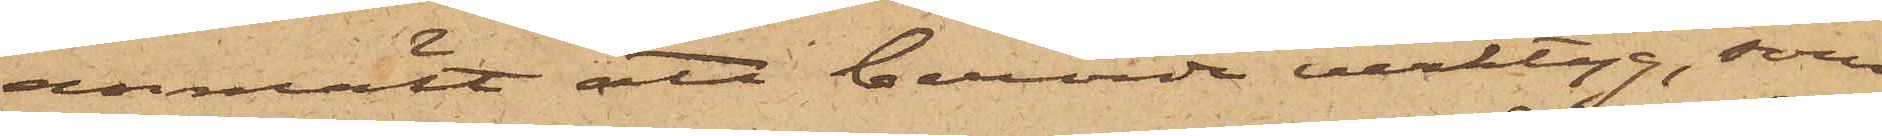anmält att berörde verktyg, som
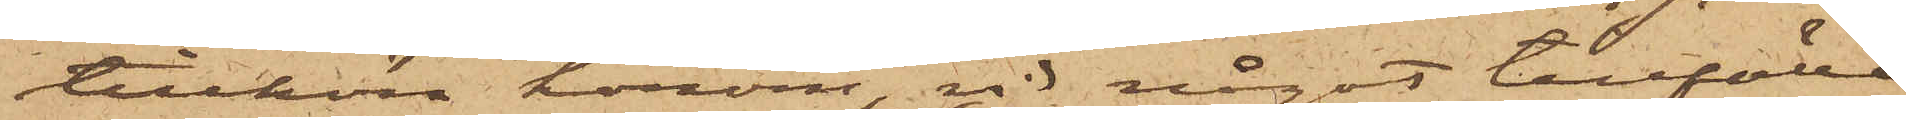tillhöra honom, vid något tillfälle
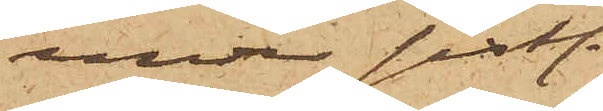under sistl.
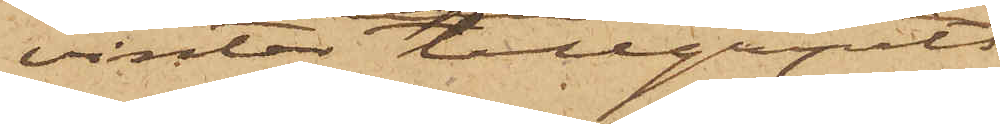vinter tillgripits
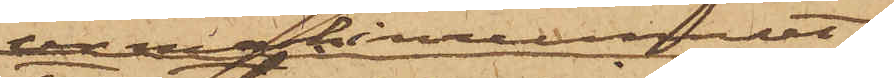 ur maskinrummet
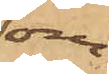om¬
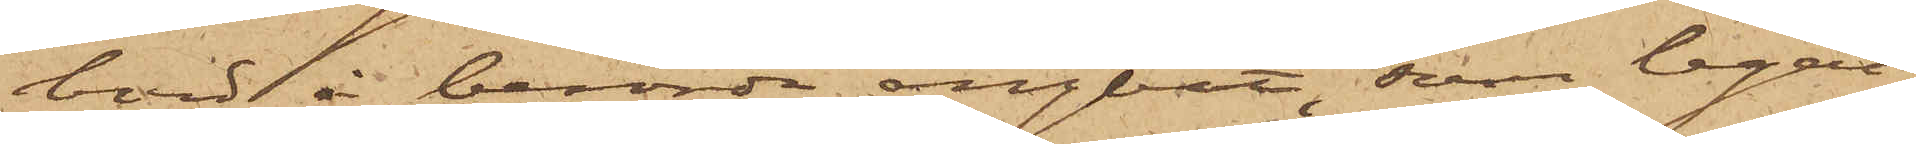bord å berörde ångbåt, som legat
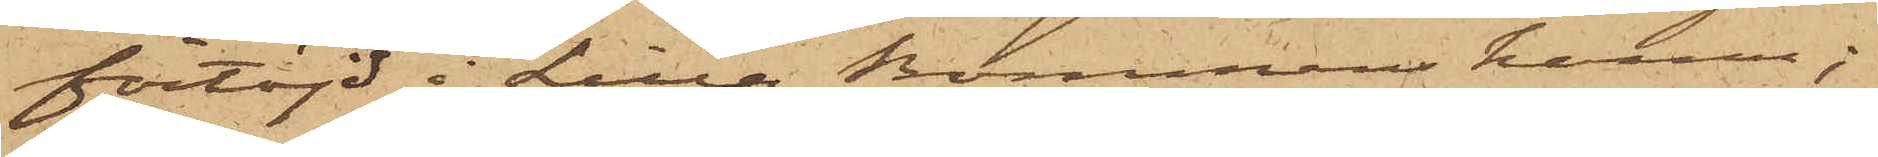förtöjd i Lilla Bommens hamn;
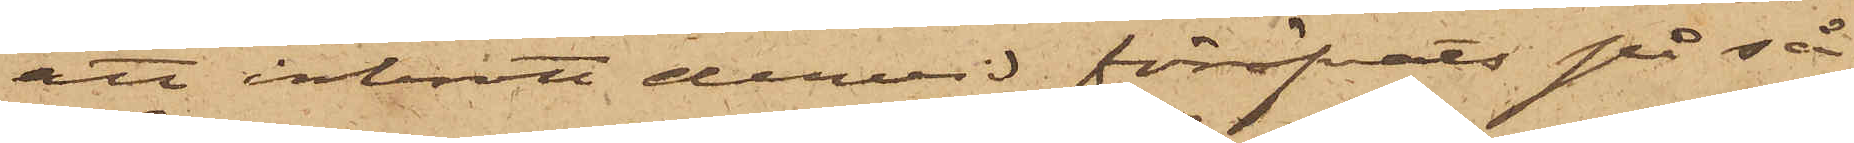att inbrott dervid föröfvats på så
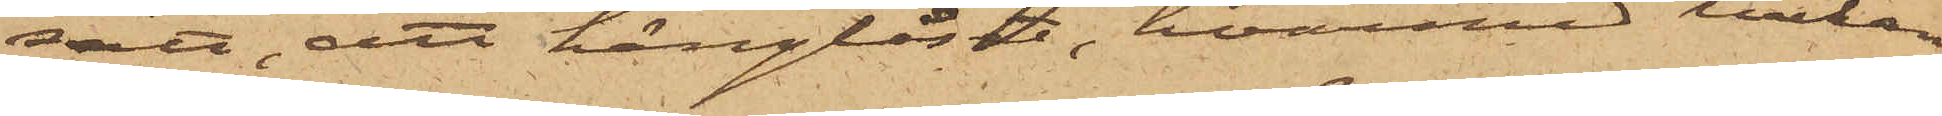sätt, att hänglåset, hvarmed luckan
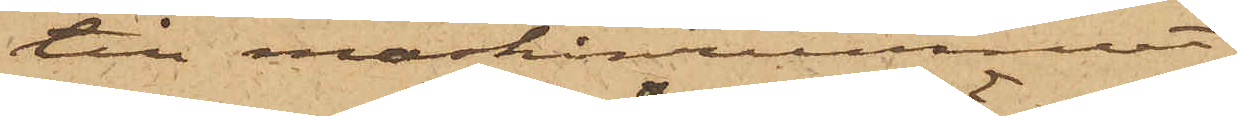till maskinrummet,
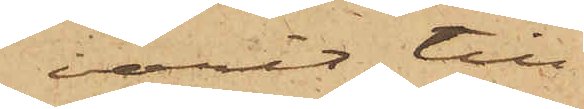varit till¬
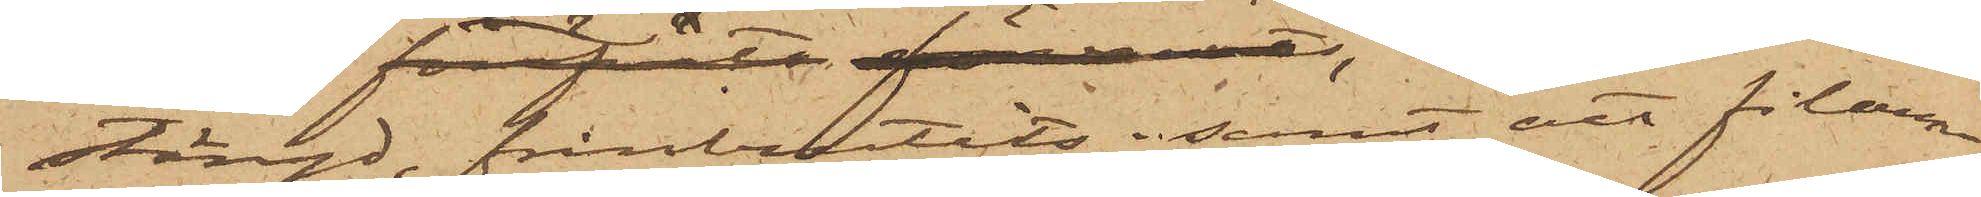stängd, frånbrutits, samt att filarna
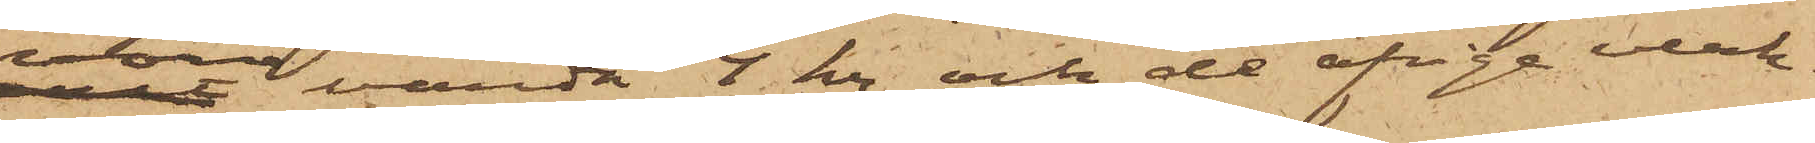vore värda 4 kr. och de öfrige verk¬
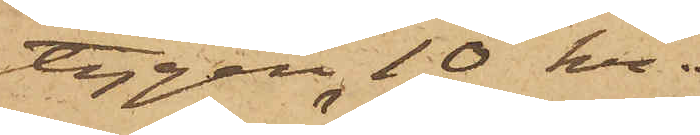tygen 10 kr.
